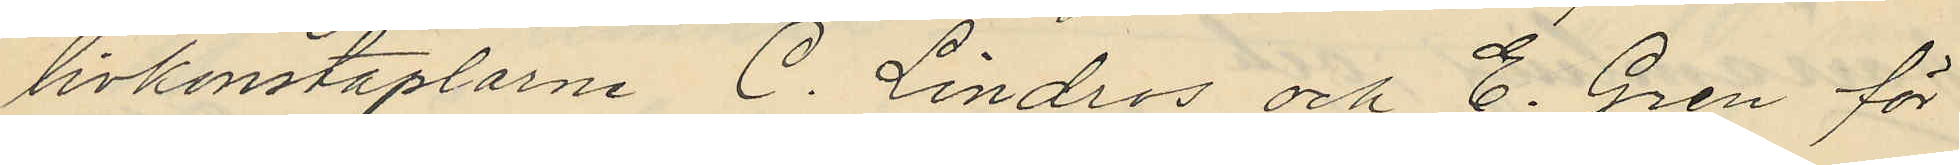livkonstaplarne C. Lindros och E. Gren för
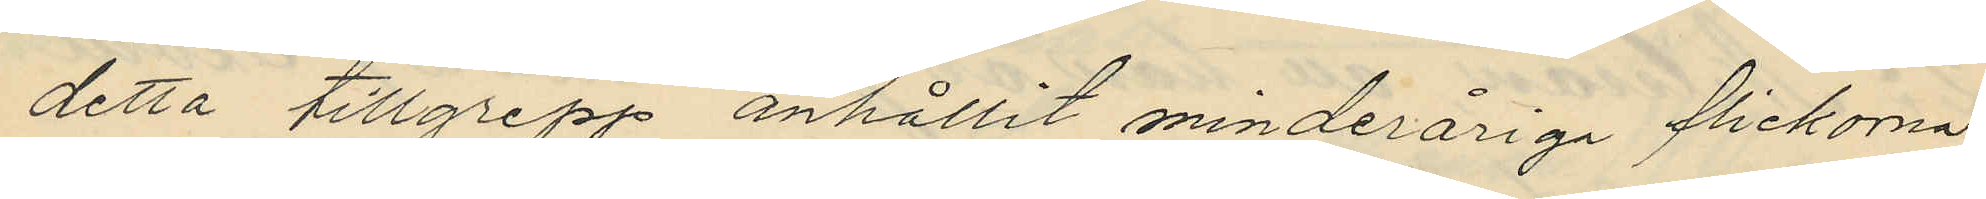detta tillgrepp anhållit minderåriga flickorna
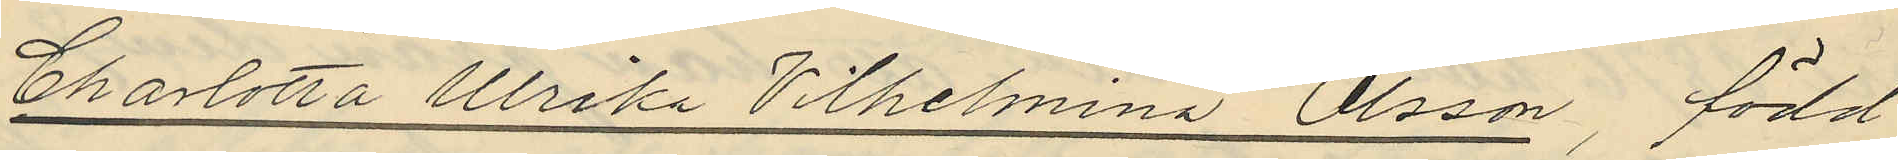Charlotta Ulrika Vilhelmina Olsson, född
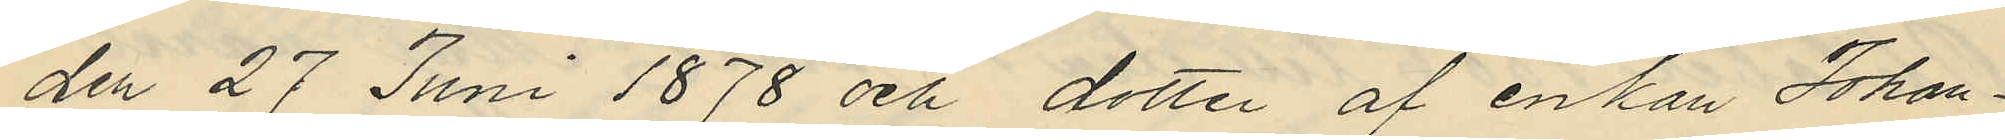den 27 Juni 1878 och dotter af enkan Johan¬
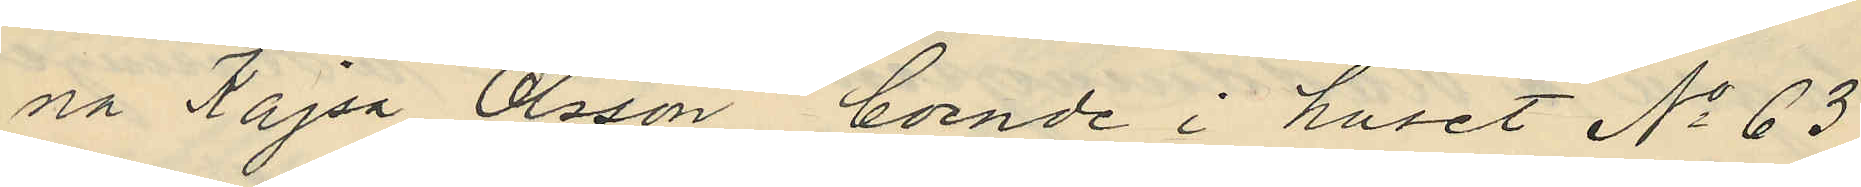na Kajsa Olsson, boende i huset No 63
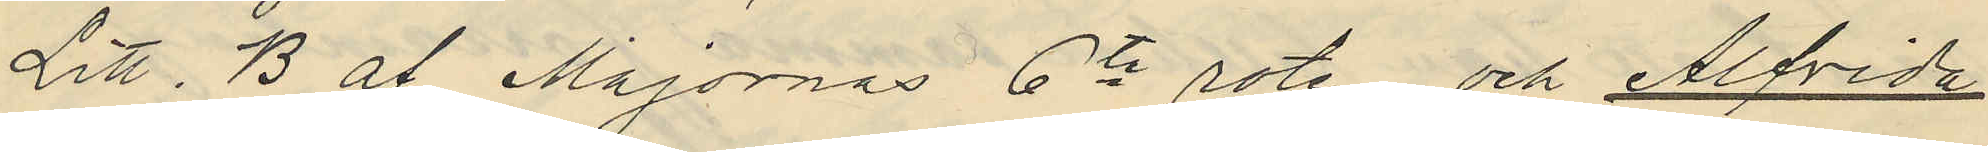Litt. B af Majornas 6te rote och Alfrida
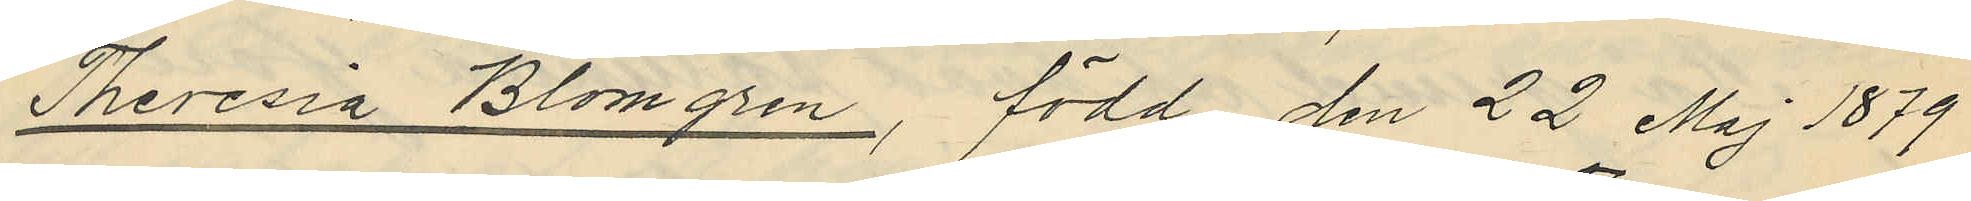Theresia Blomgren, född den 22 Maj 1879
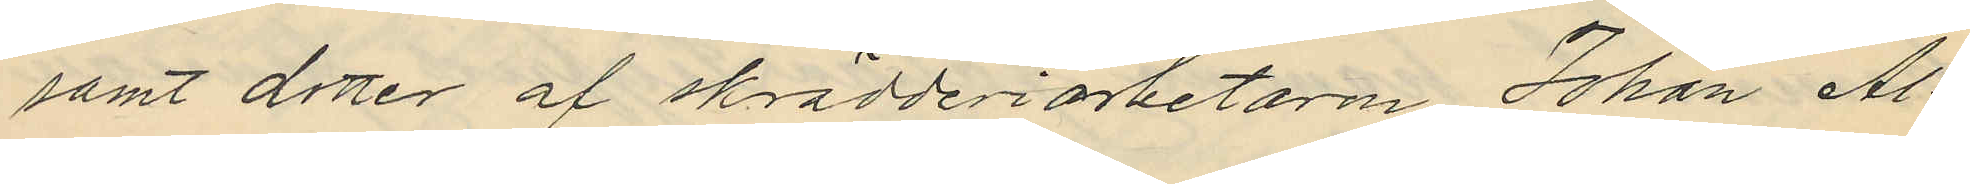samt dotter af skrädderiarbetaren Johan Al¬
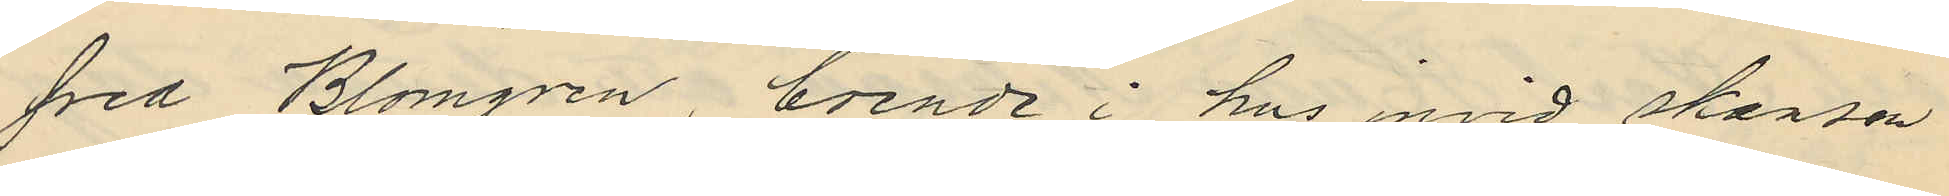fred Blomgren, boende i hus invid skansen
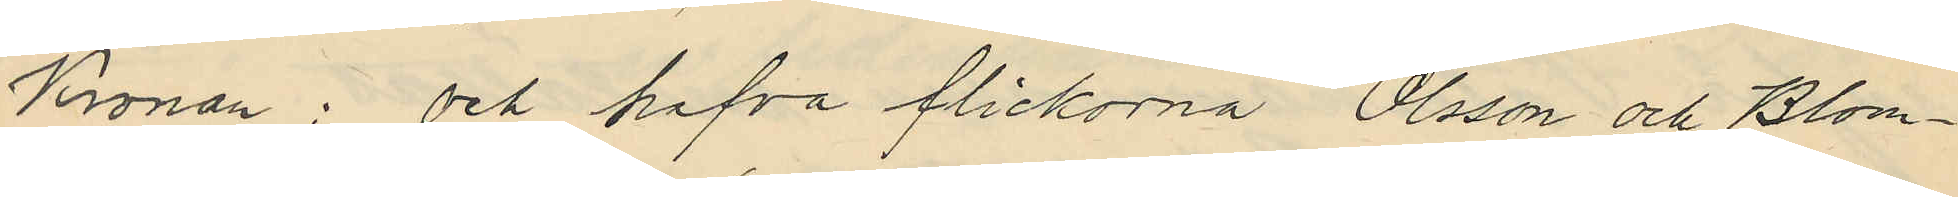Kronan; och hafva flickorna, Olsson och Blom¬
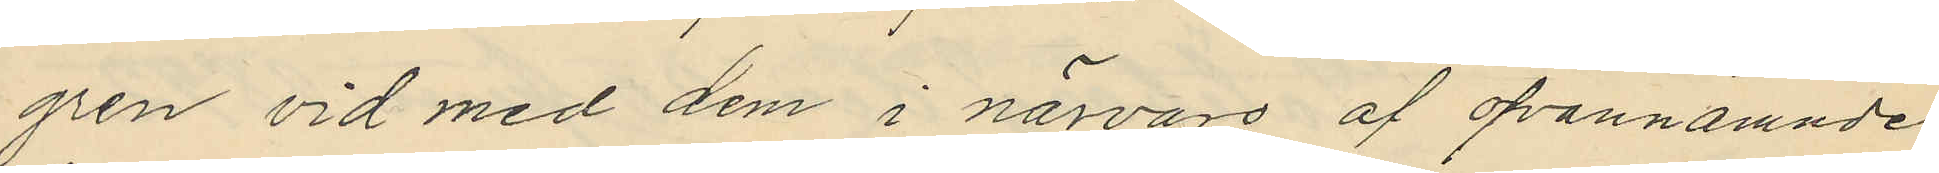gren vid med dem i närvaro af ofvannämnde
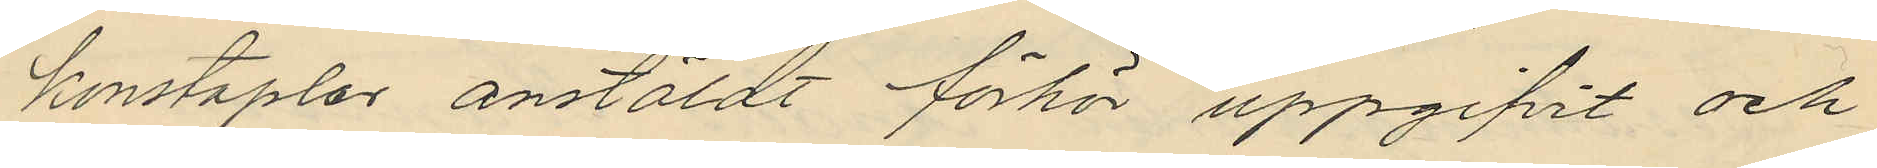konstaplar anstäldt förhör uppgifvit och
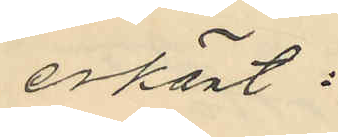erkänt:
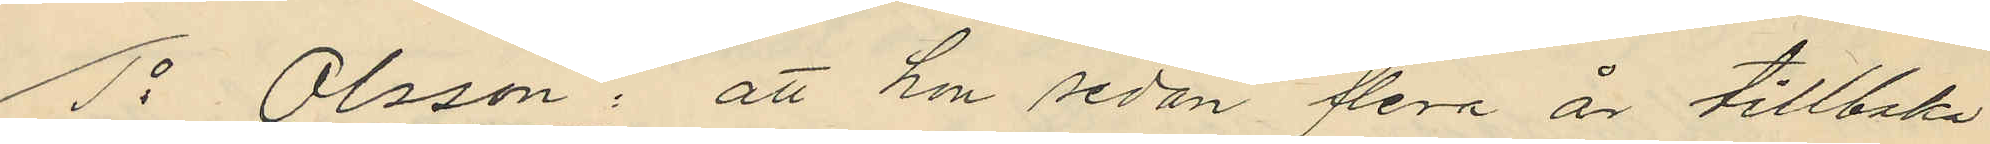1o Olsson: att hon sedan flera är tillbaka
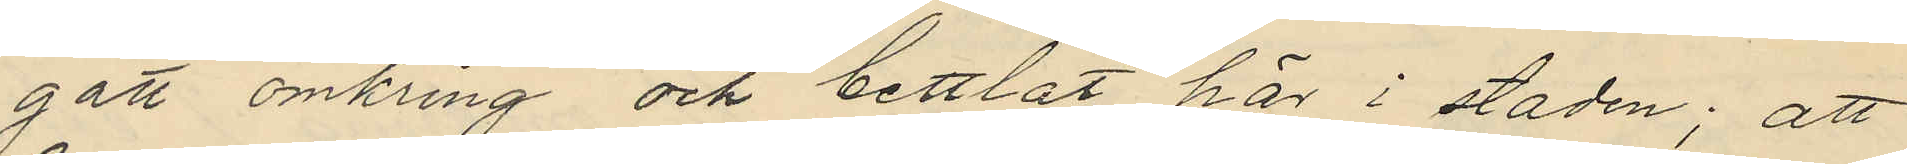gått omkring och bettlat här i staden; att
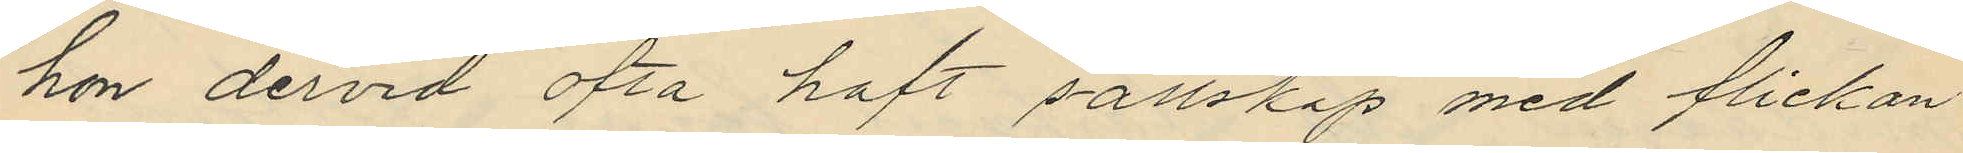hon dervid ofta haft sällskap med flickan
